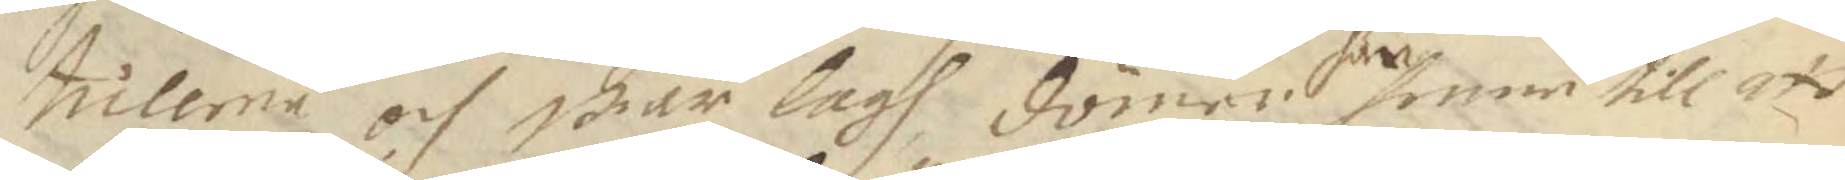ticlerne och wår lagh dömer här  henne till att
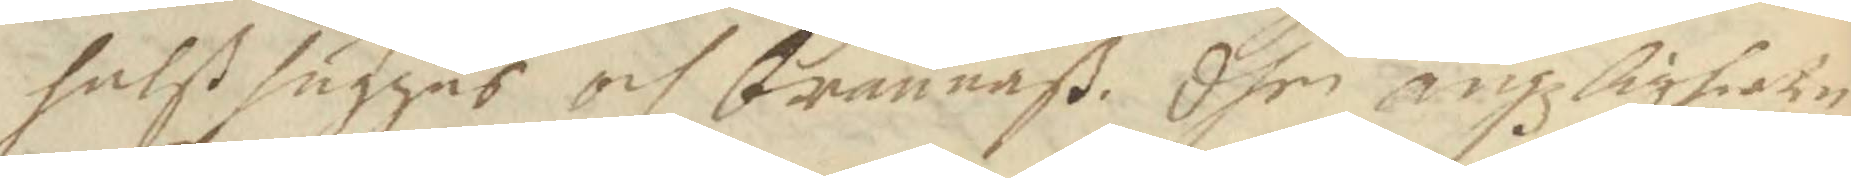halßhugges och brännaß. dhen ängzligheten
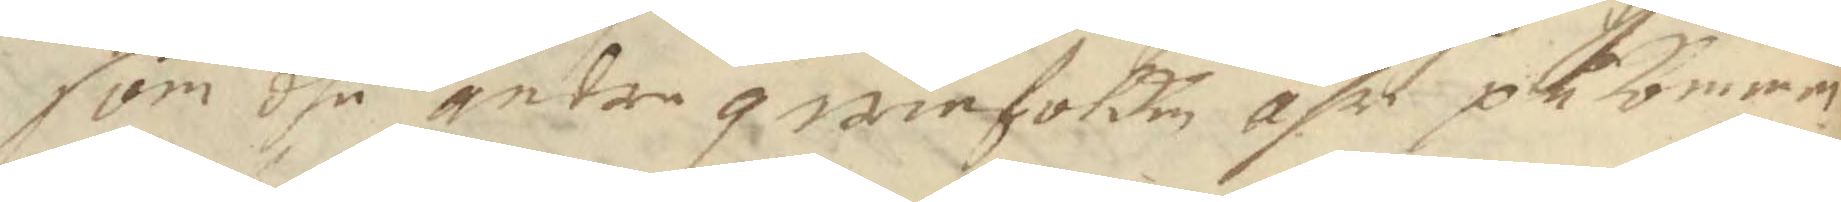som dhe andre qwinfolken ähr påkommen
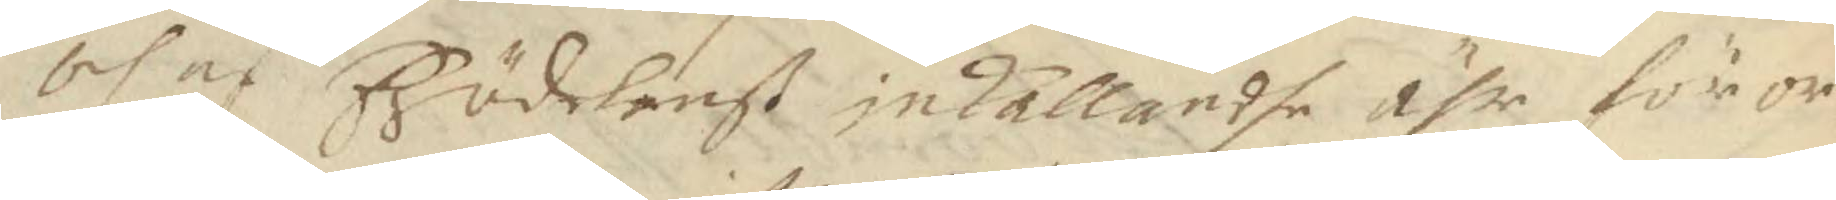och af Födelenß inkallandhe ähr för or¬
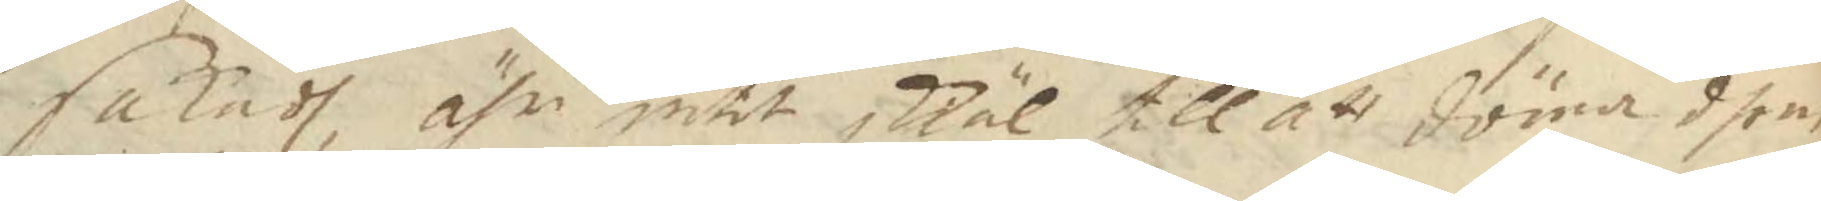sakadt, ähr intet skäl till att döma dhem
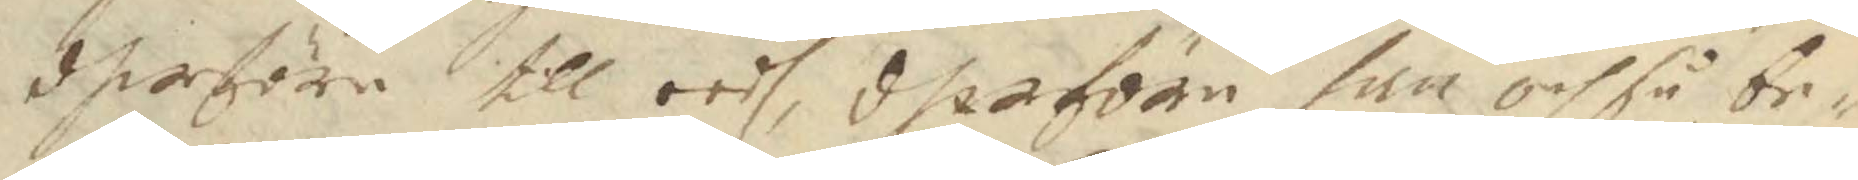dherföre till eedh, dherföre han och så be¬
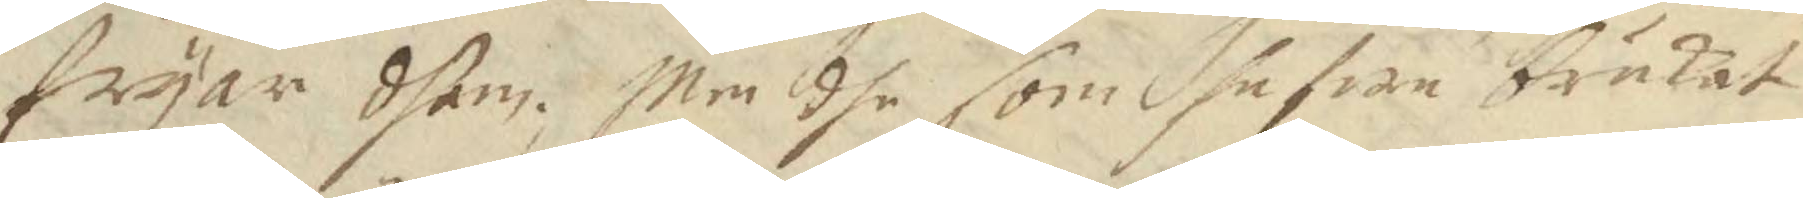fryar dhem. Men dhe som hafwe brukat
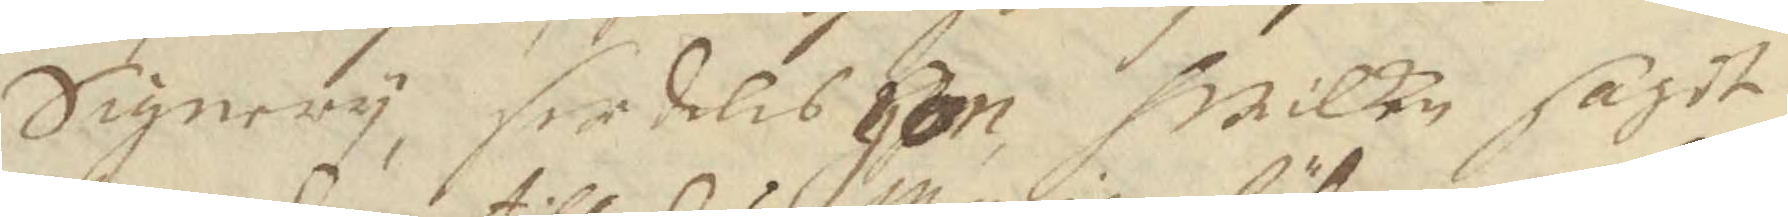Signery, serdeles hon hwilken sagdt
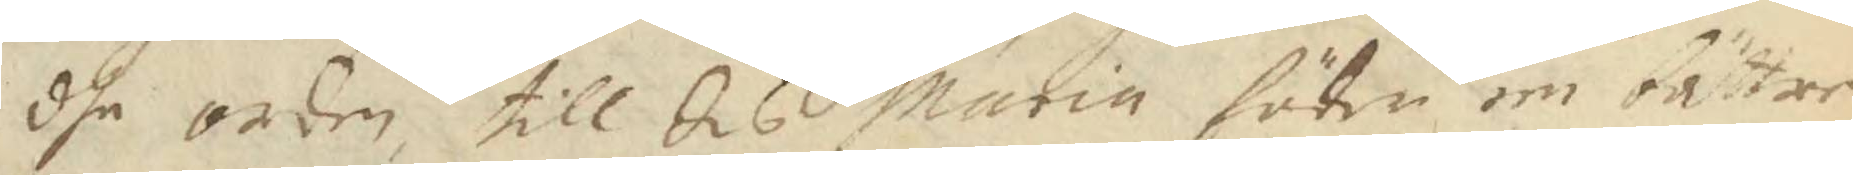dhe orden, till dis Maria föder en bättre
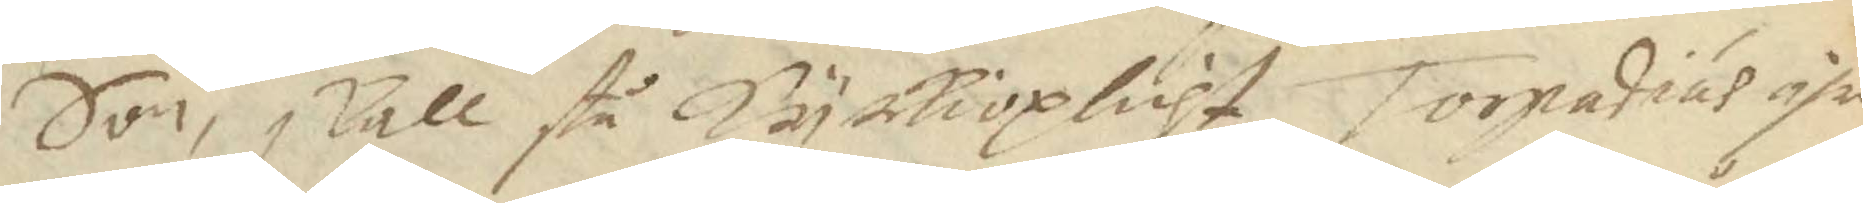Son, skall stå Kyrkioplicht,Torpadius ähr
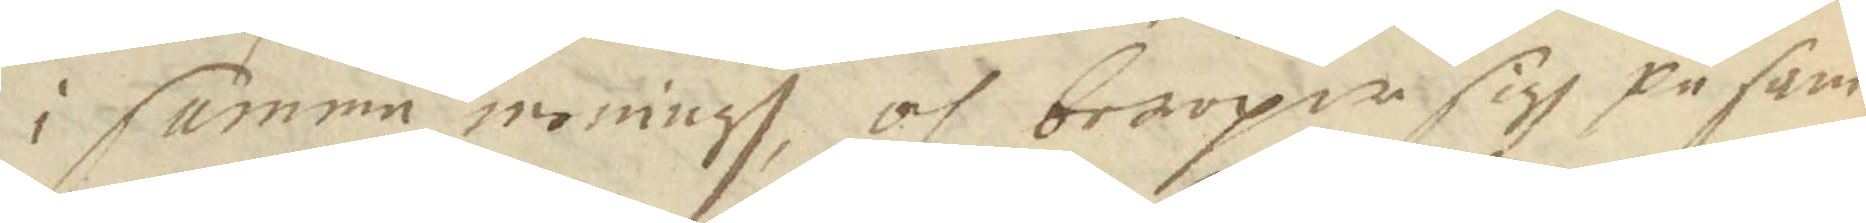i samma meningh, och beroper sigh på sam¬
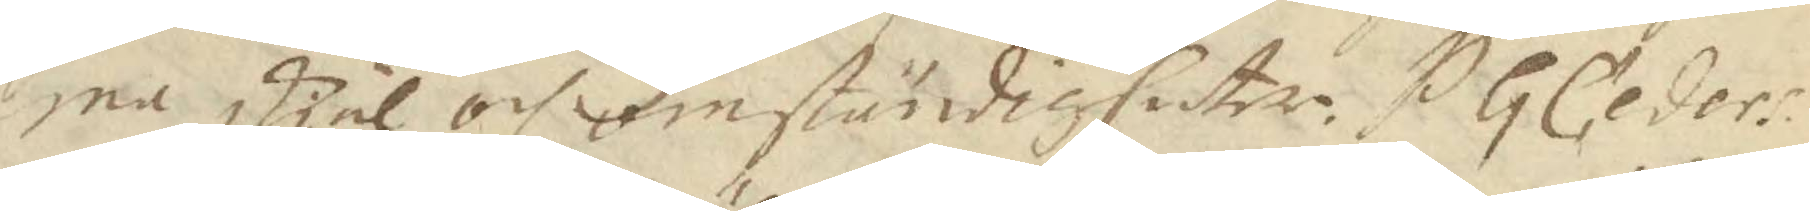ma skiäl och omständigheter. H G Ceders 
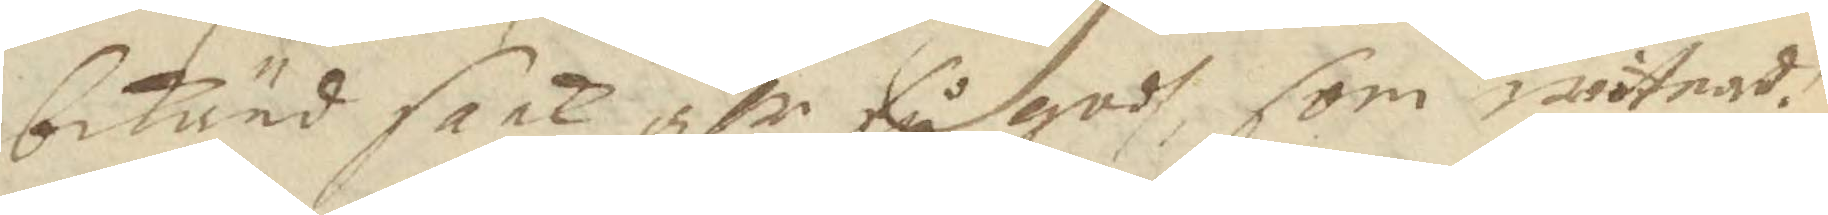bekänd saak ähr få godh, som witnadt
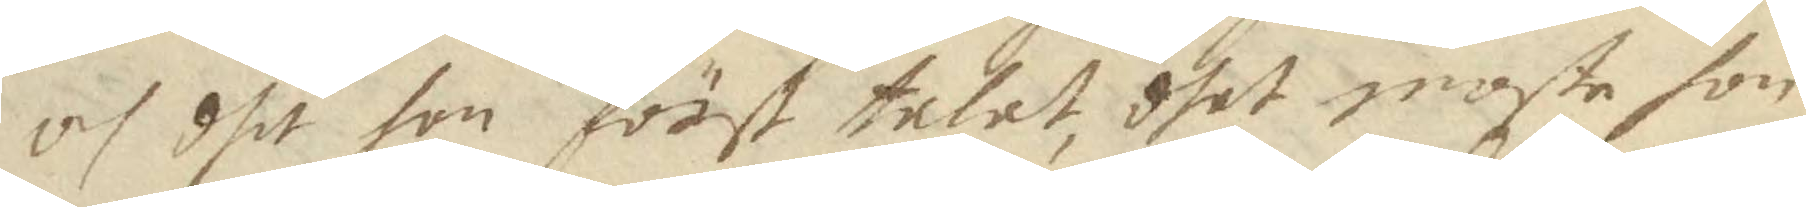och dhe hon först talat, dhet moste hon
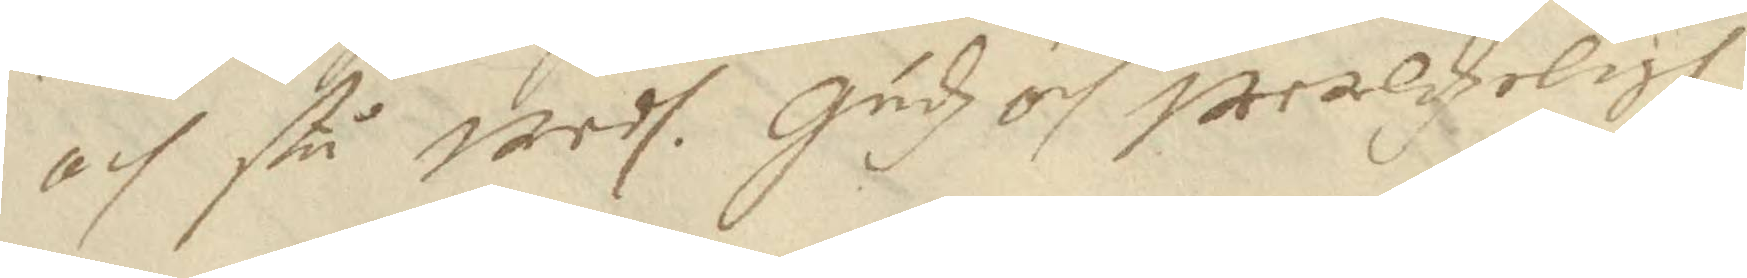och stå wedh. Gudz och werdzeligh
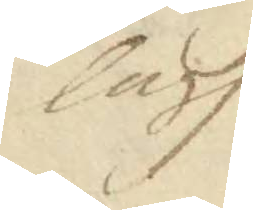lagh
